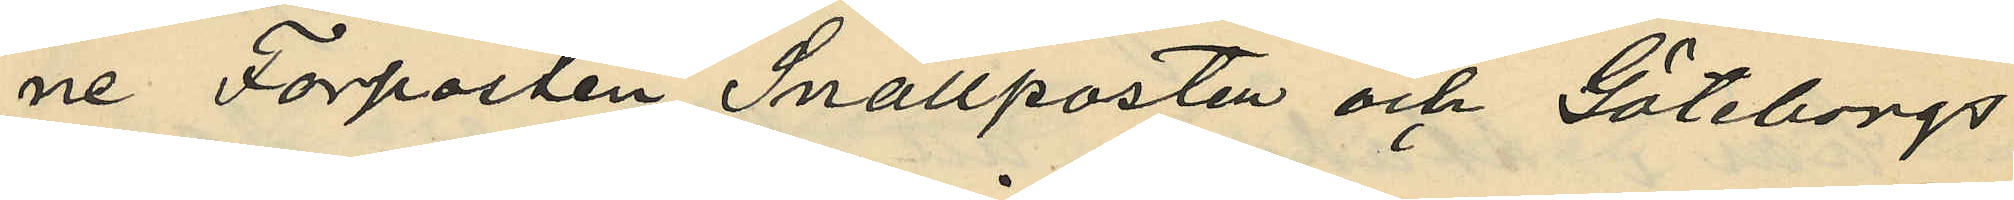ne Förposten, Snällposten och Göteborgs
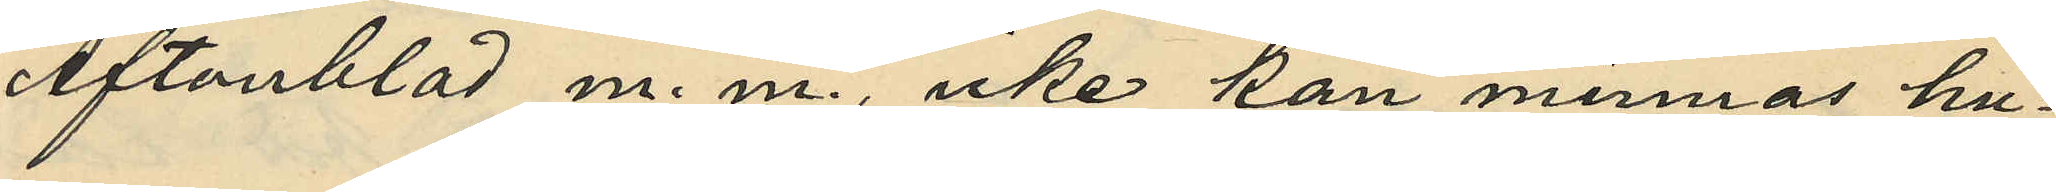Aftonblad m. m., icke kan minnas hu¬
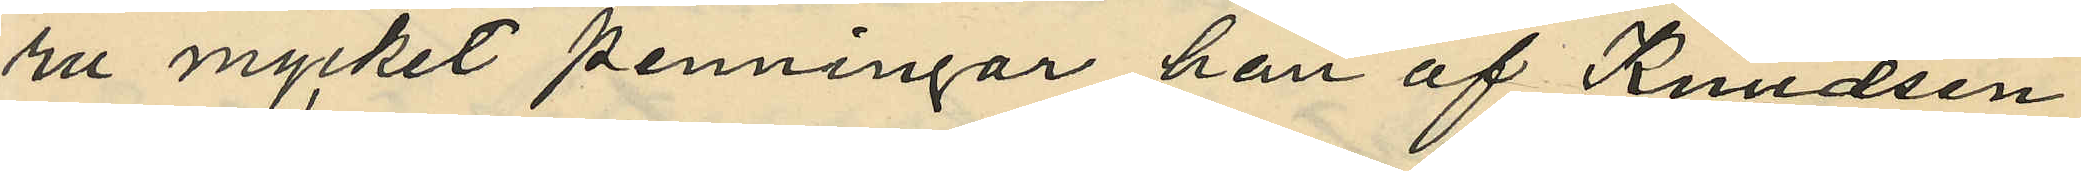ru mycket penningar han af Knudsen
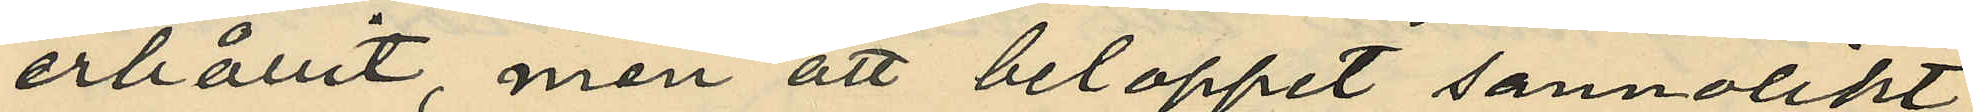erhållit, men att beloppet sannolikt
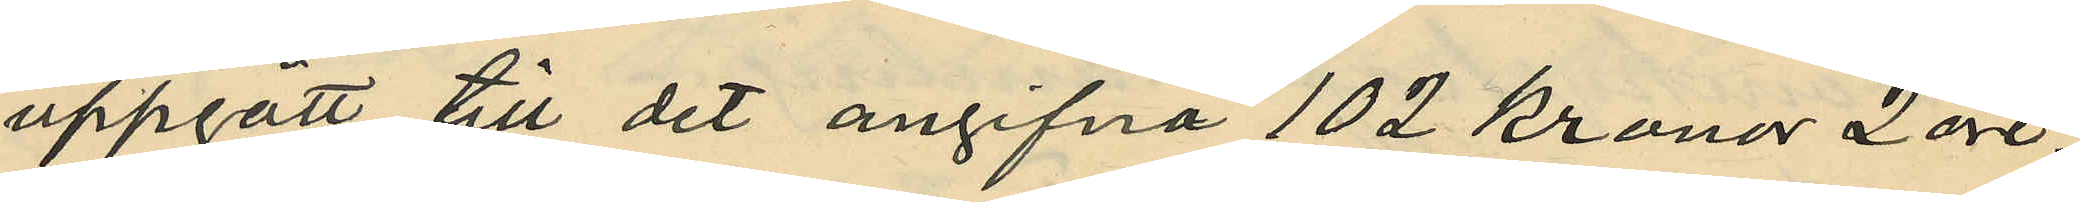uppgått till det angifna 102 kronor 2 öre;
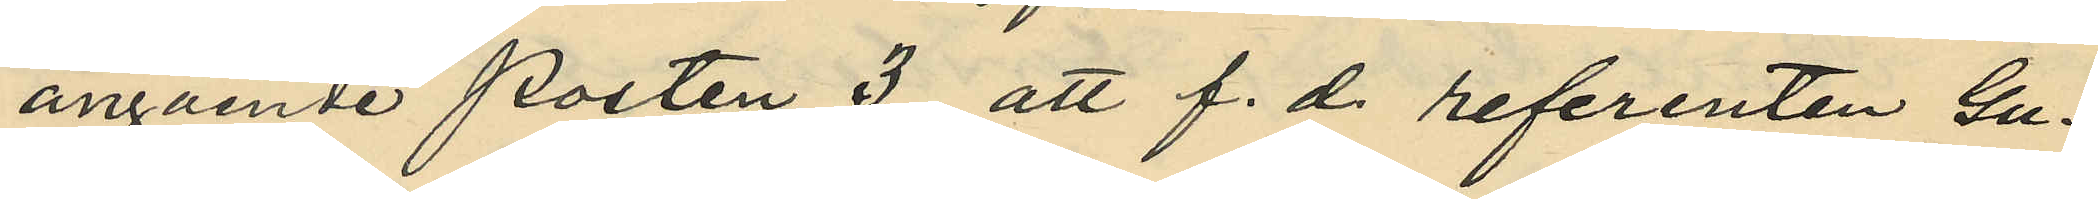angående posten 3 att f. d referenten Gu¬
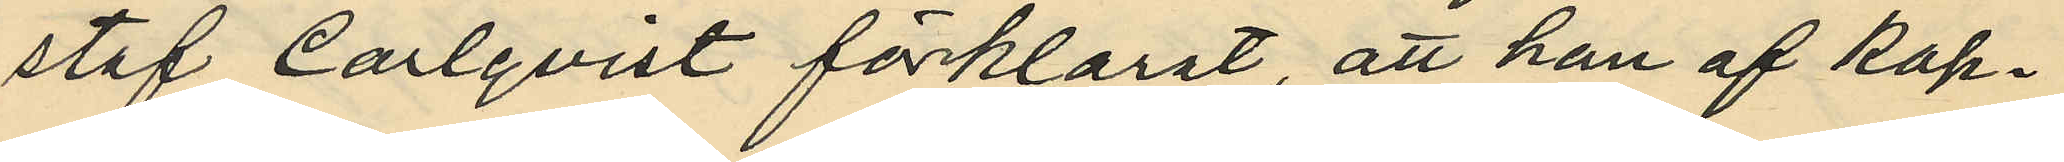staf Carlqvist förklarat, att han af kap¬
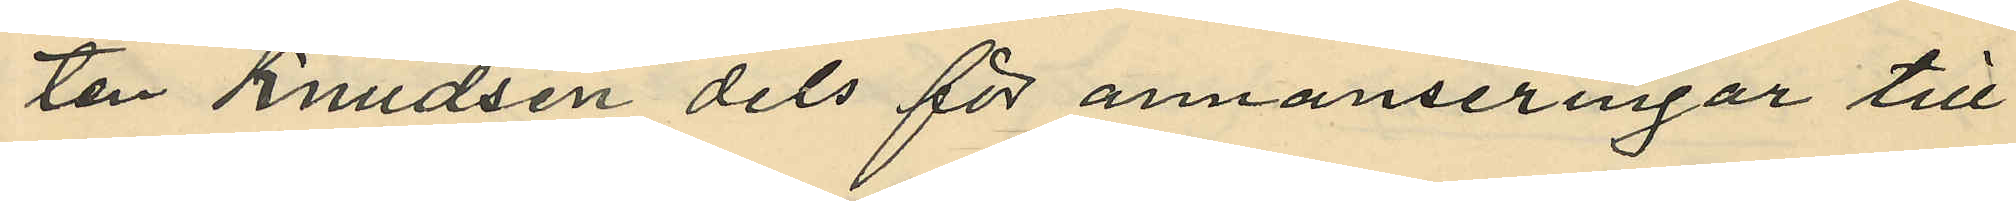ten Knudsen dels för annonseringar till
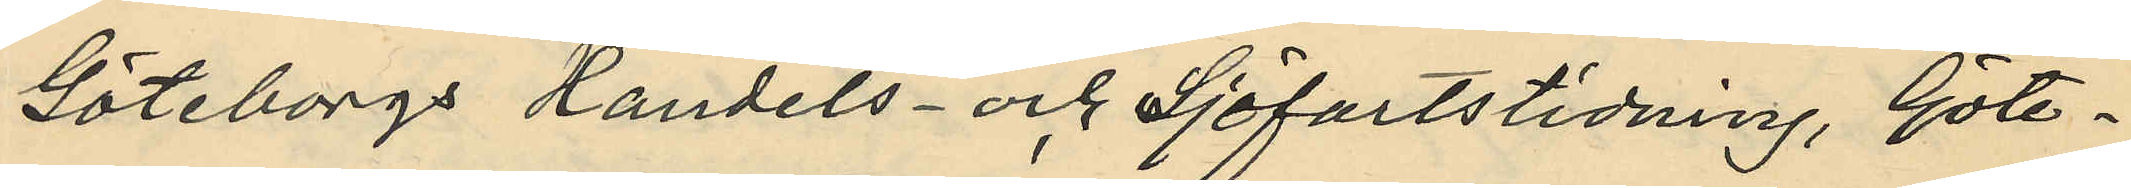Göteborgs Handels- och Sjöfartstidning, Göte¬
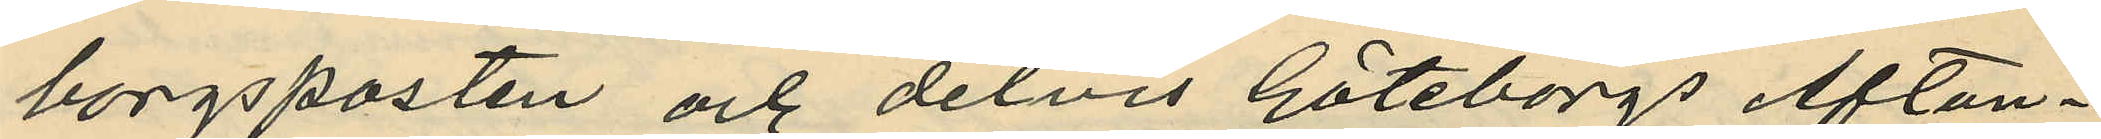borgsposten och delvis Göteborgs Afton¬
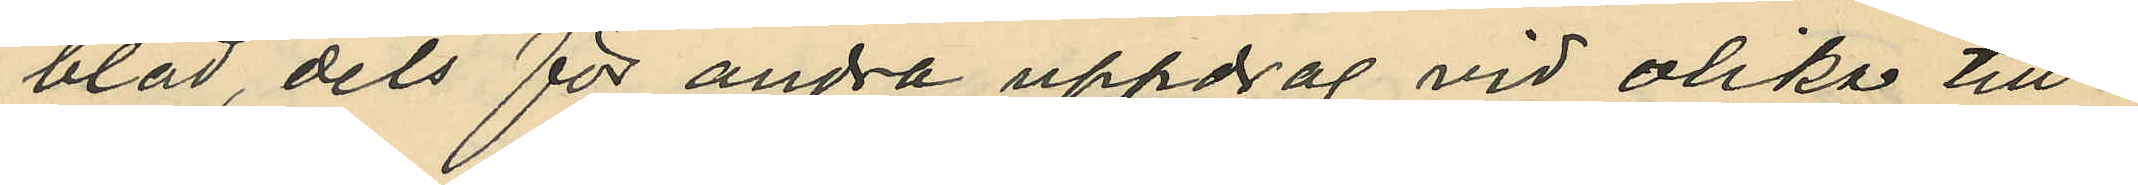blad, dels för andra uppdrag vid olika till¬
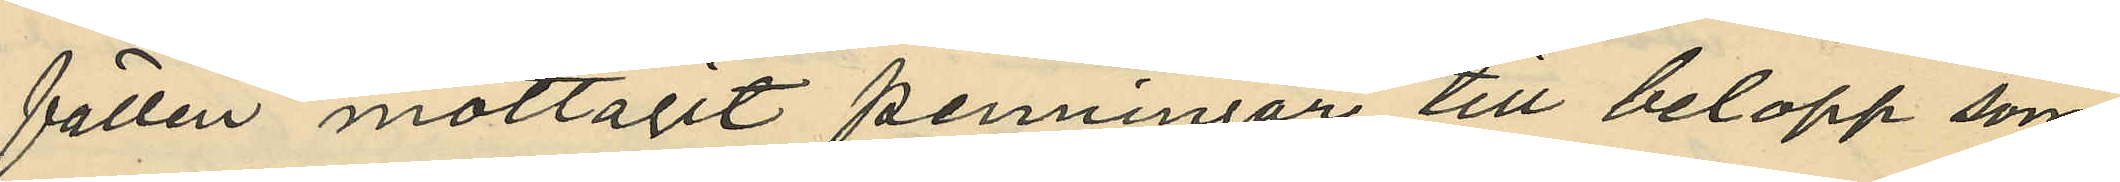fällen mottagit penningar till belopp som
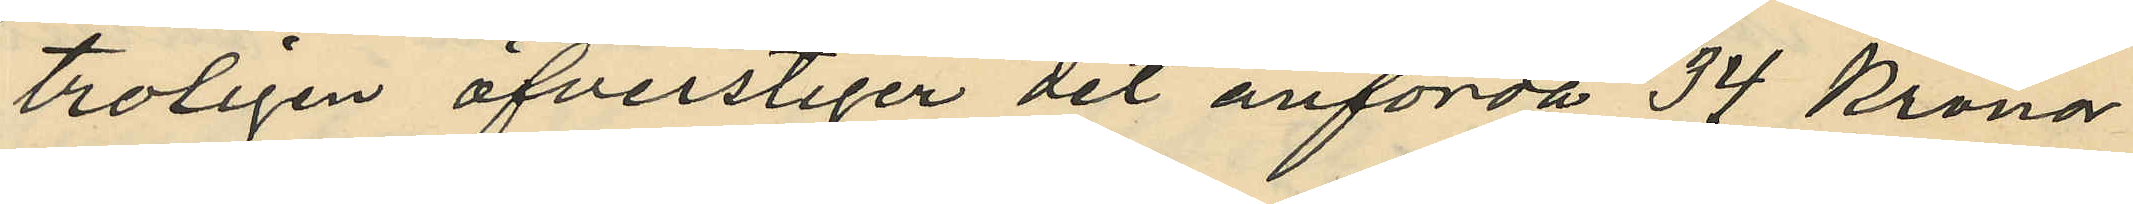tröligen öfverstiger det anförda 34 Kronor
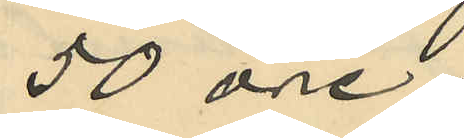50 öre;
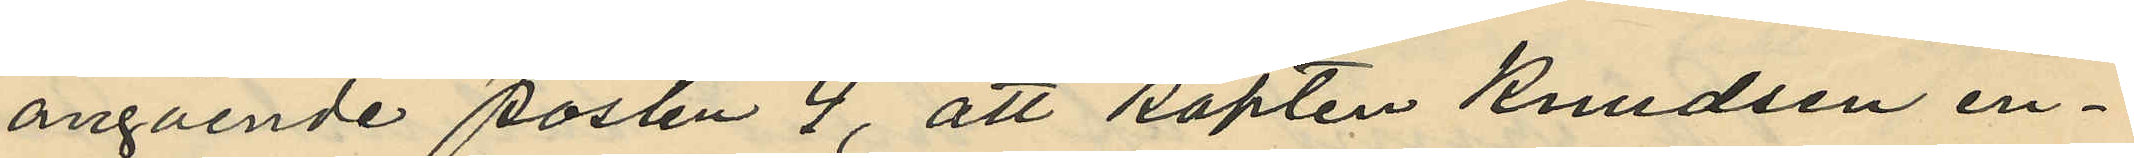angående posten 4, att Kapten Knudsen en¬
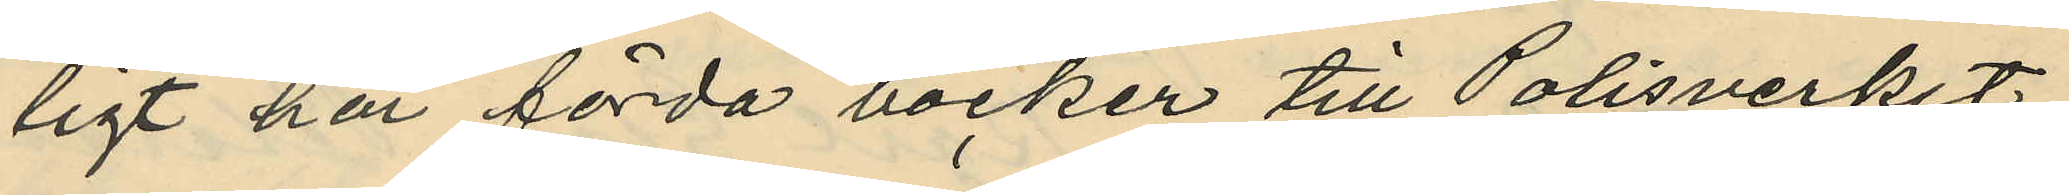ligt här förda böcker till Polisverket
